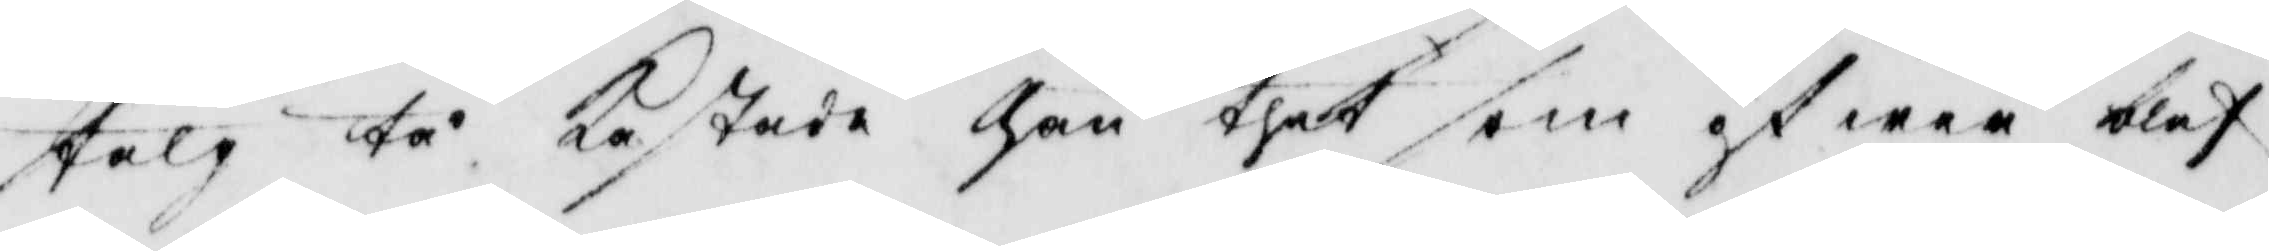talg tå Kastade han thet som öffwer blef
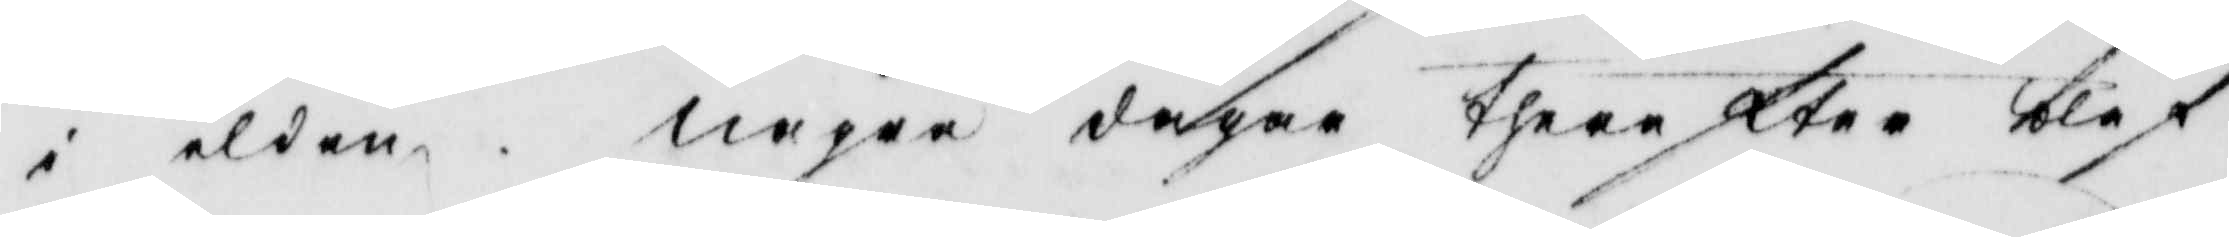i elden. några dagar therefter blef
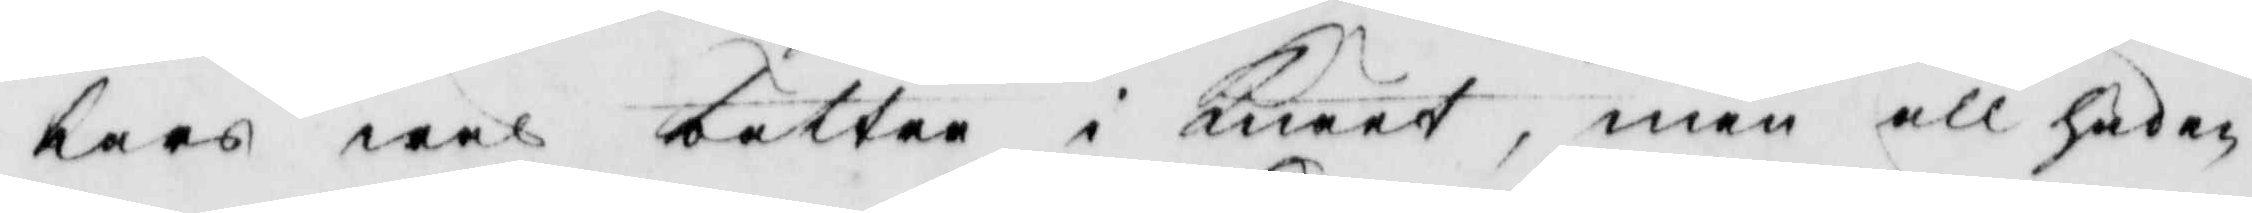Lars wäl bättre i Knäet, men all huden
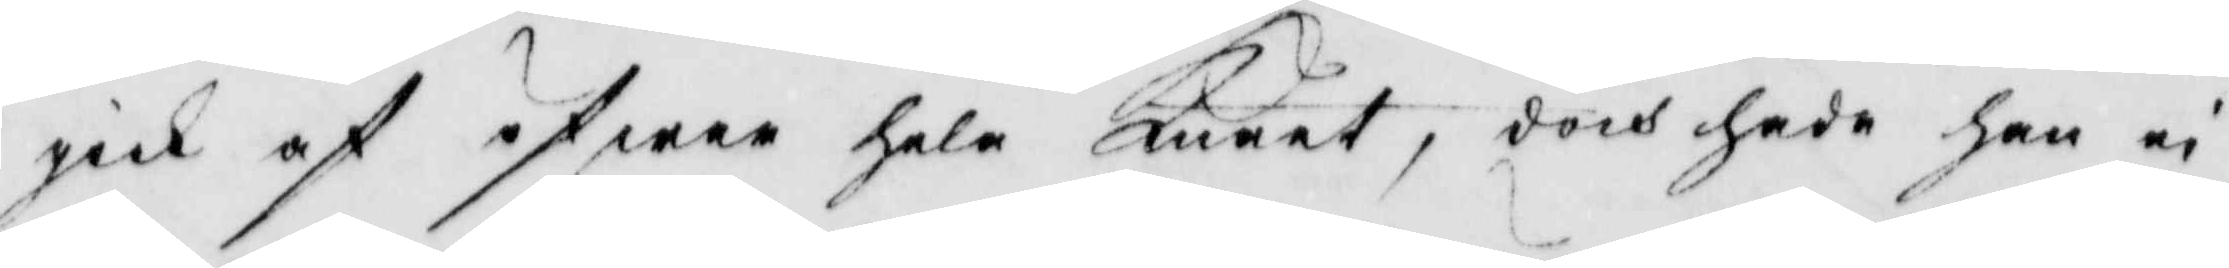gick af öfwar hela Knäet, doch hade han ei
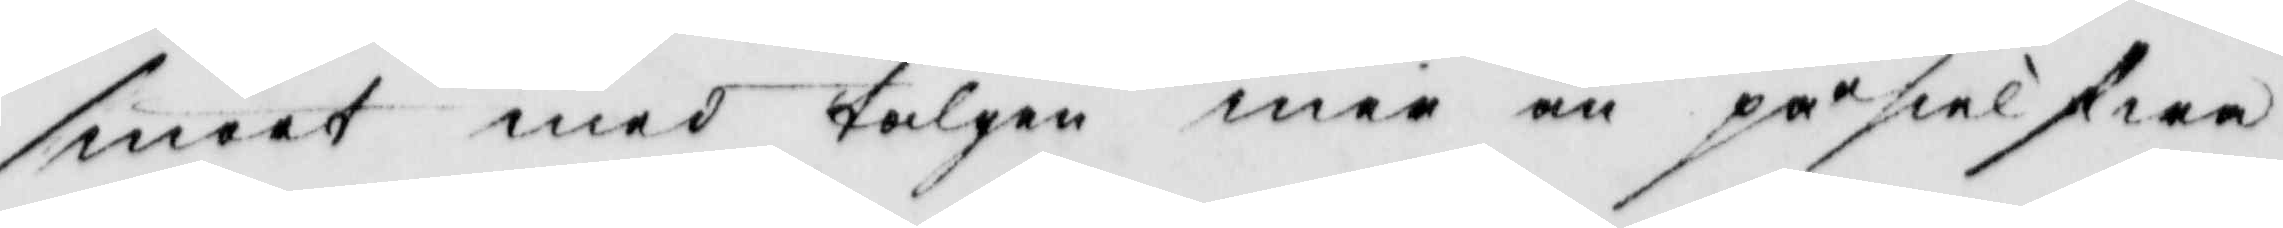smort med talgen mer än på sielfwa
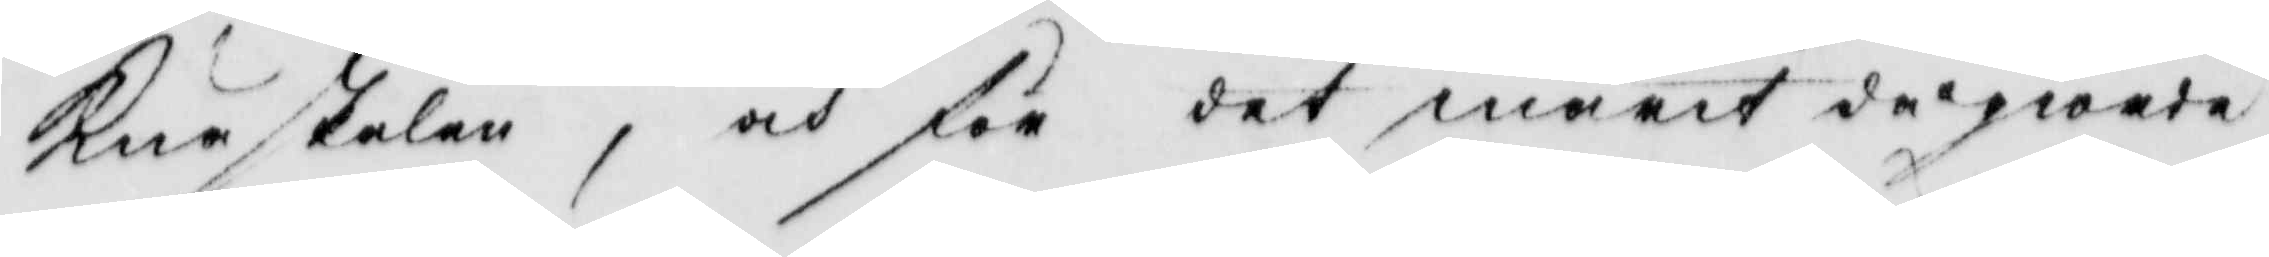Knäskålen, och för det marit då giorde
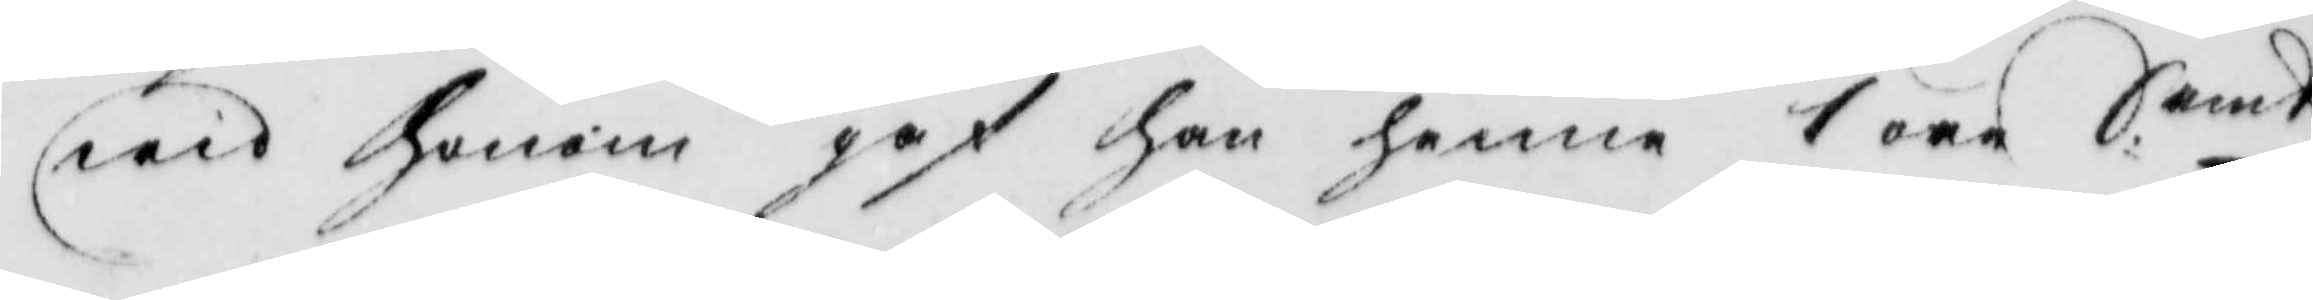wid Honom gaf han henne 1 öre S.emt
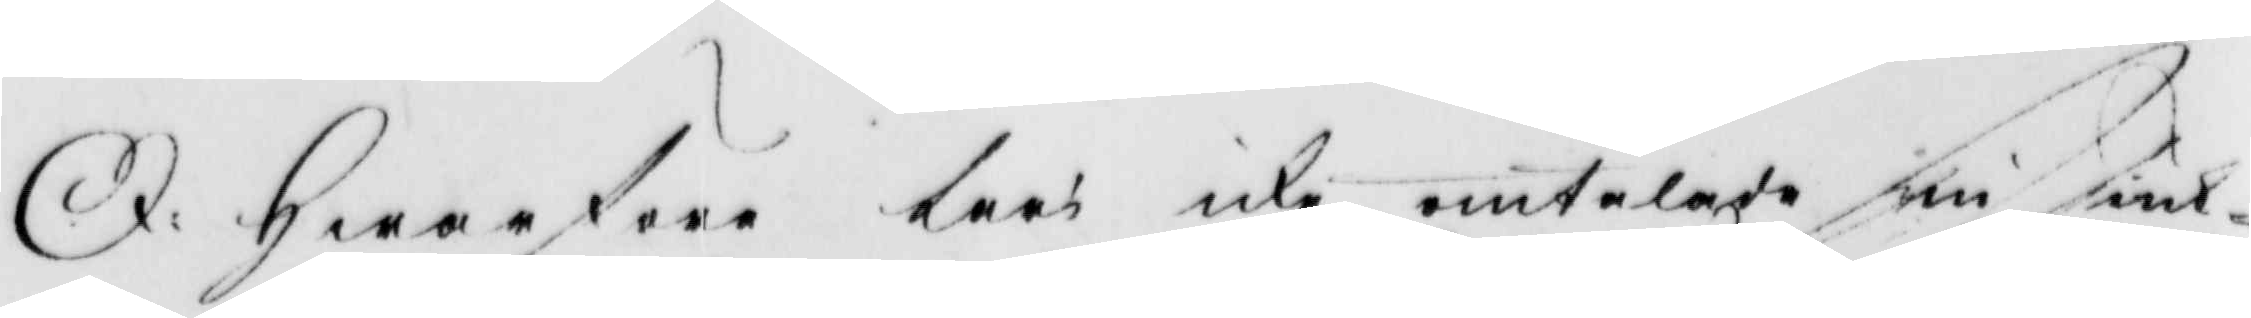I. Hwarföre Kart ice amtalare sin iut¬
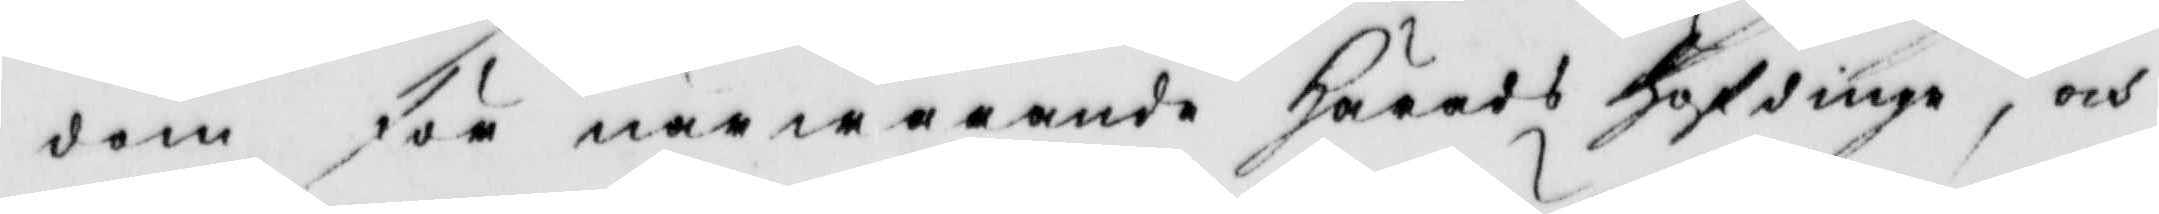dom för närwarande Härads Höfdinge, och
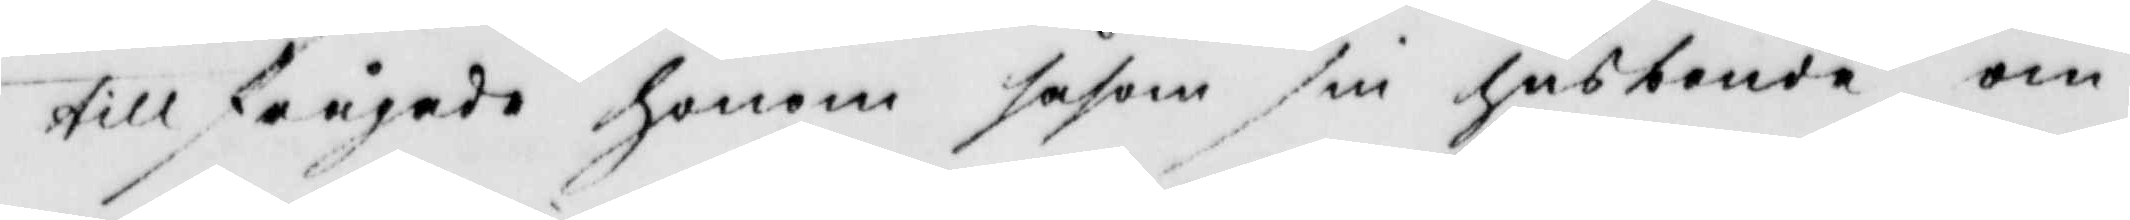tillfrågade Honom såsom sin hustonde om
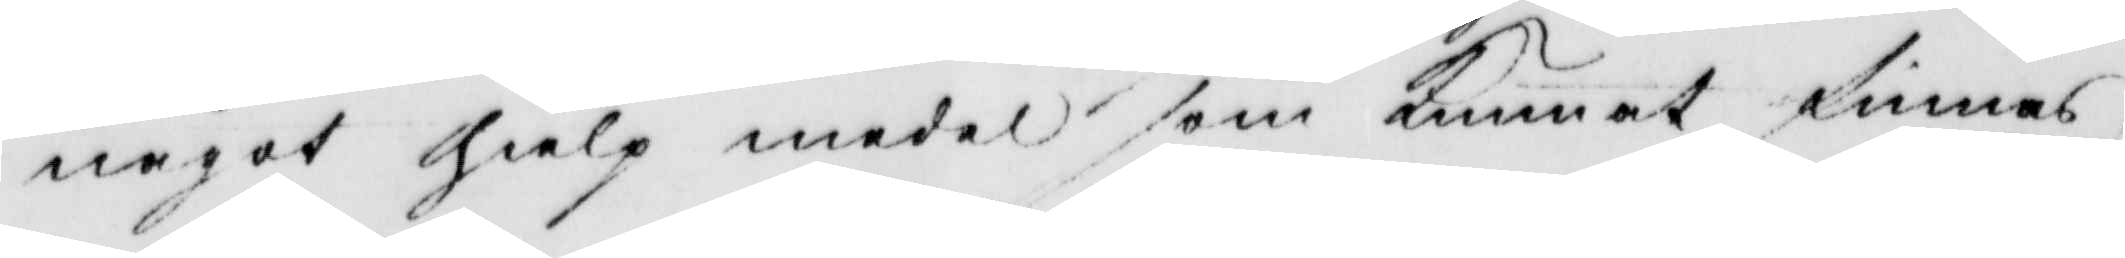något hielp medel som kunnat finnas
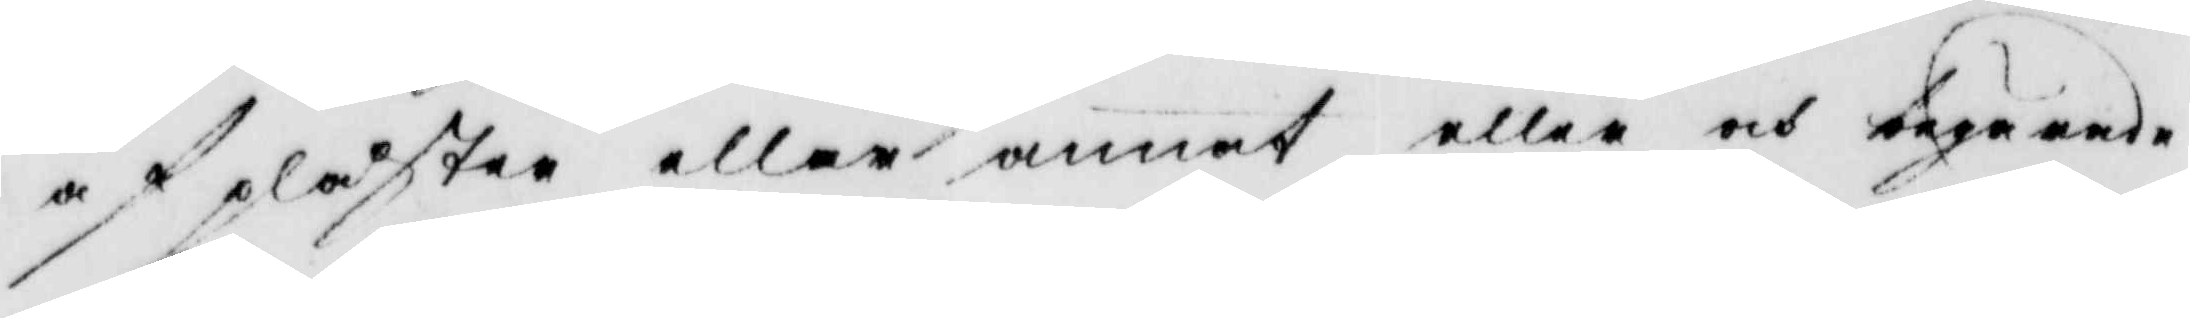af pläster eller annat eller och begåande
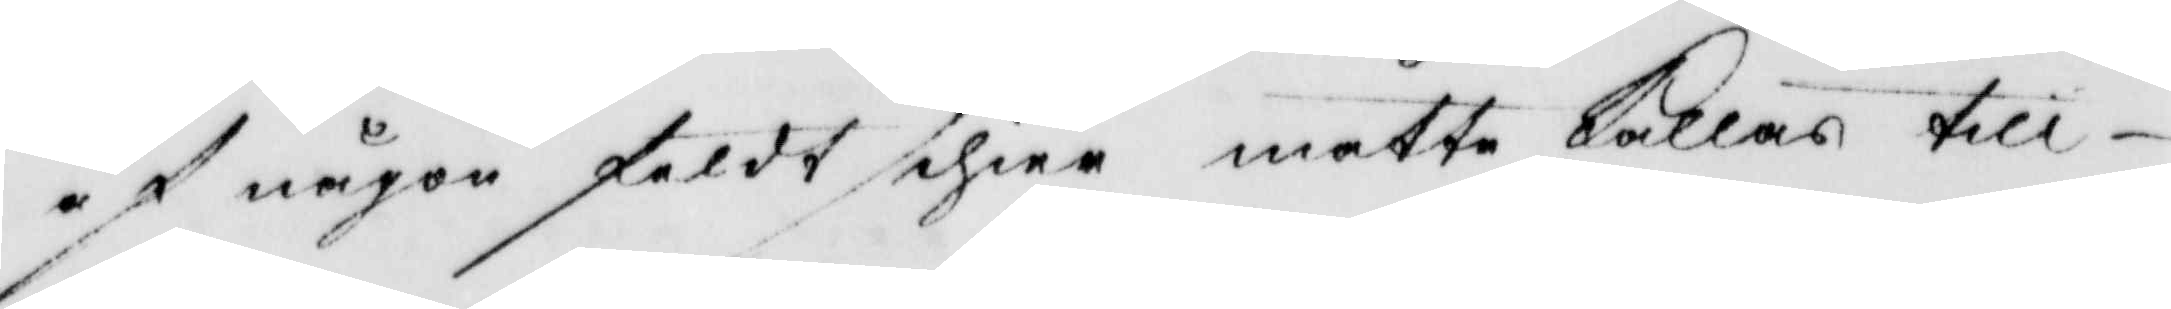af någon földt sihier måtte kallas till¬
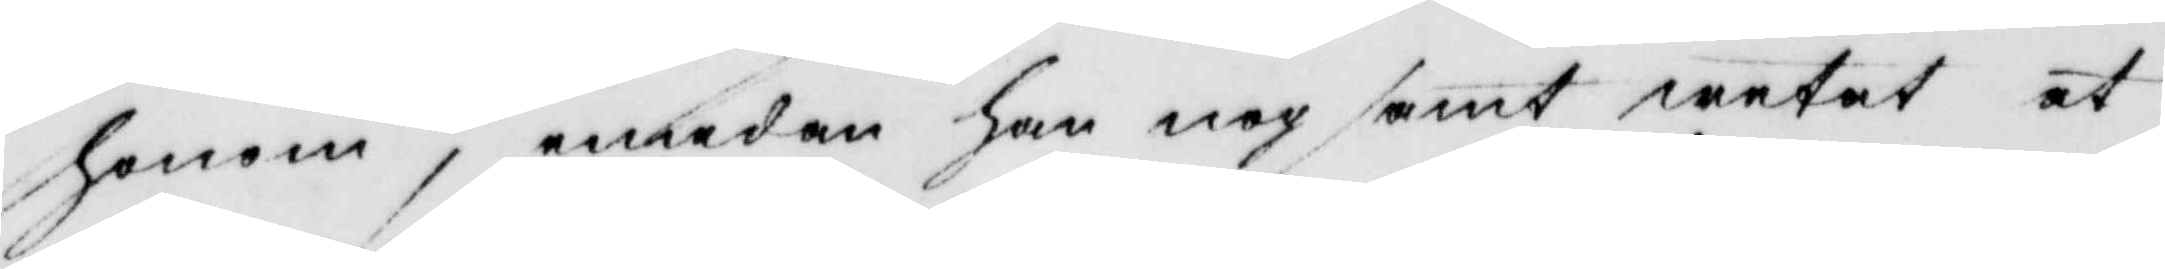honom, emedan han nog samt wetat at
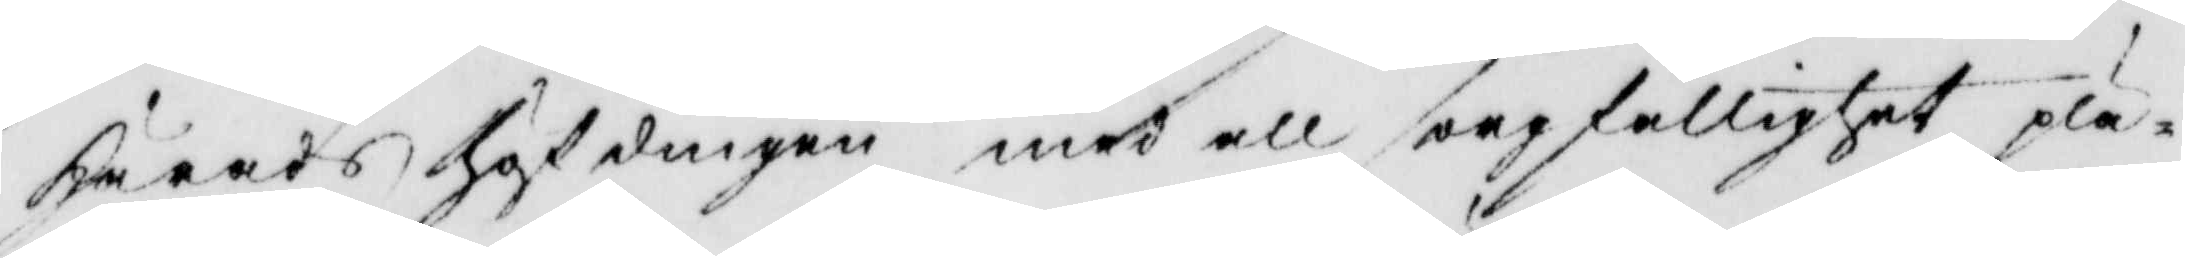härats häldingen med all soepfallighet på¬
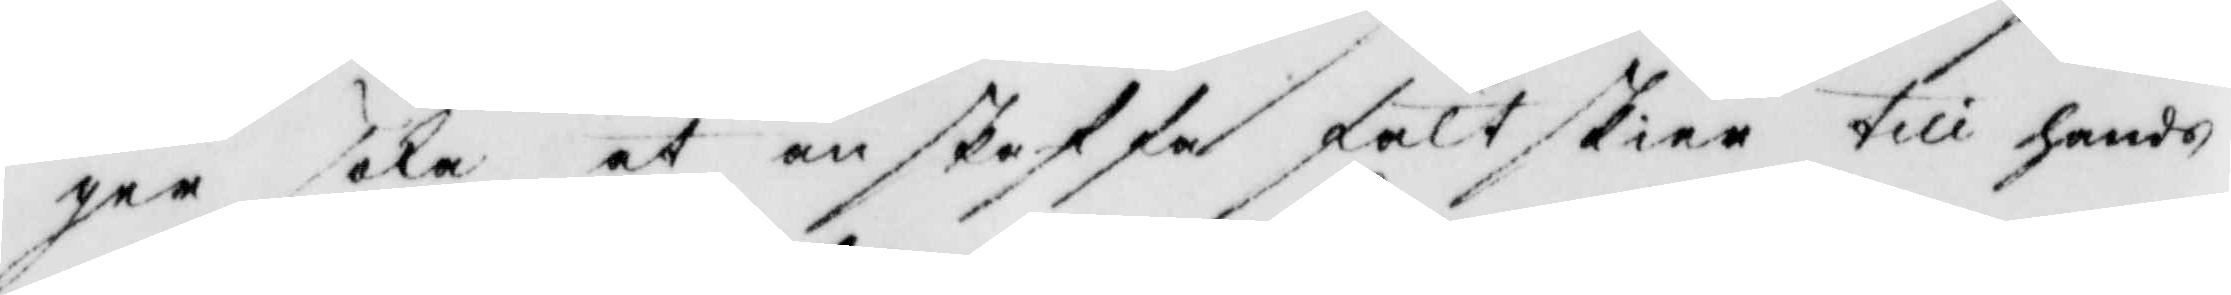gaa sala at anskaffa falt skier till hende
